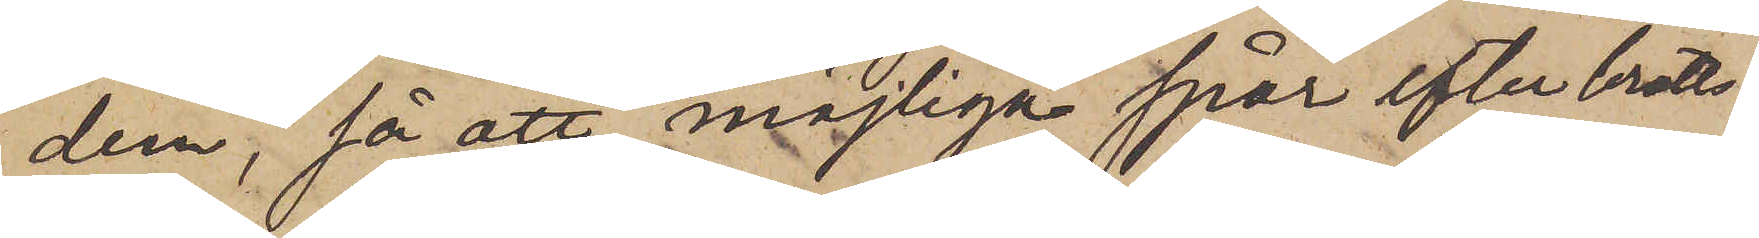dem, så att möjliga spår efter brotts¬
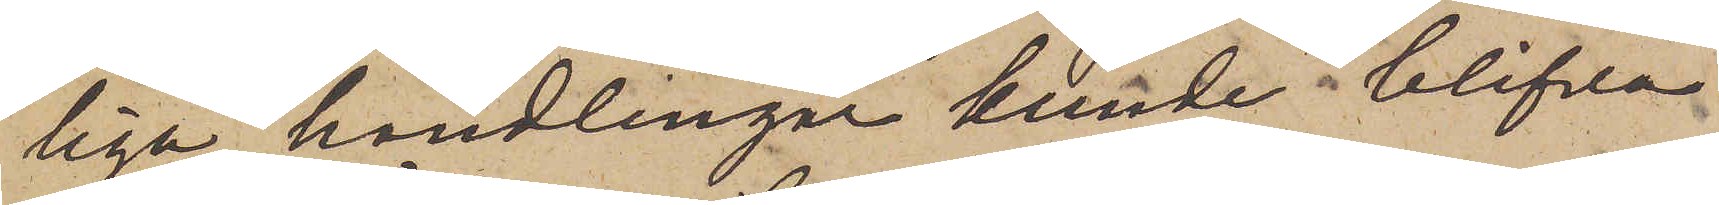liga handlingar kunde blifva
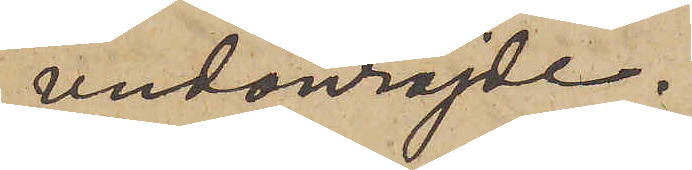undanröjde.
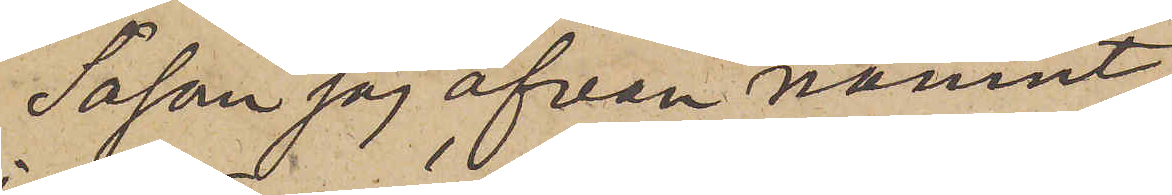Såsom jag ofvan nämnt,
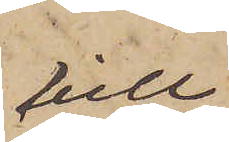vlll
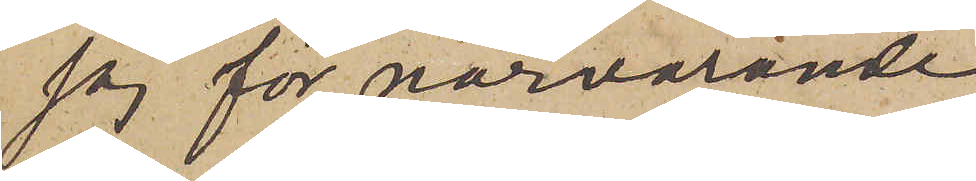jag för närvarande
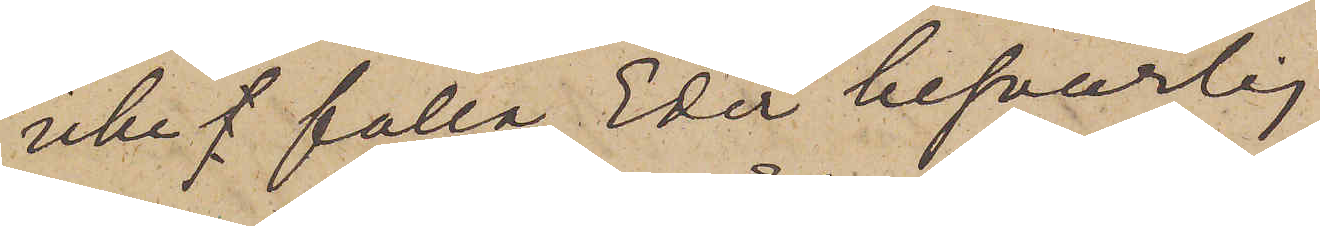icke falla Eder besvärlig
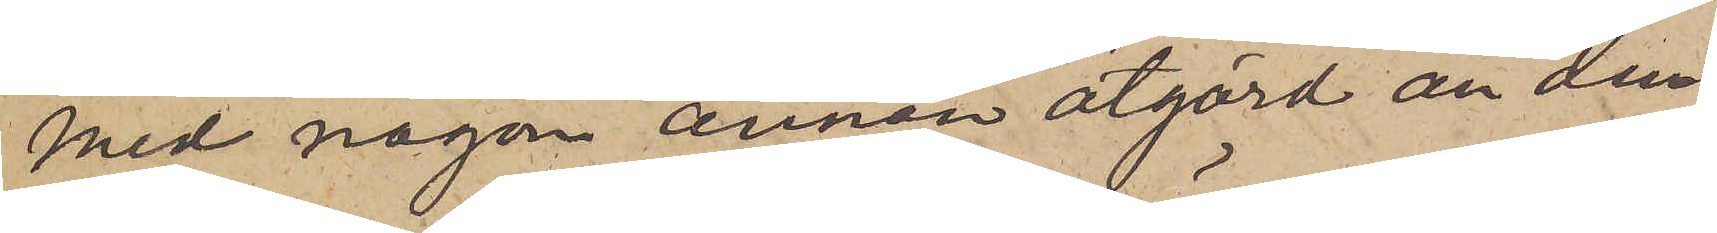med någon annan åtgärd än den,
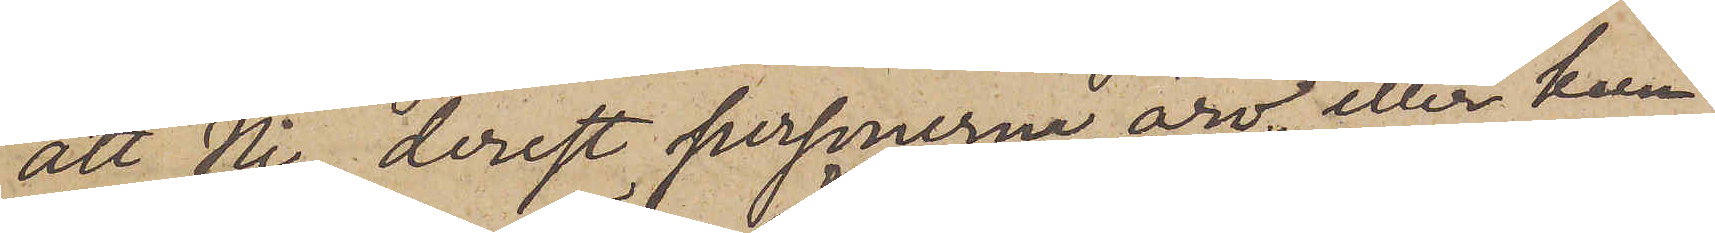att Ni, derest personerna äro eller kun¬
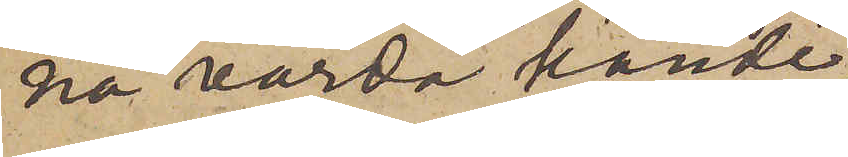na varda kände,
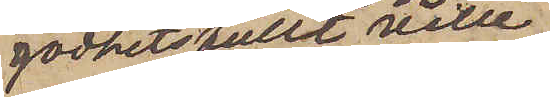godhetstullt ville
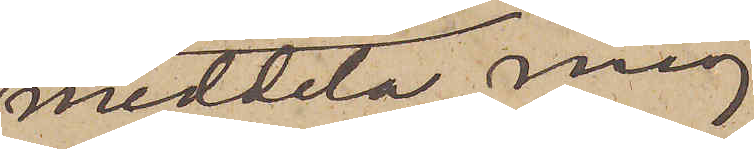meddela mig
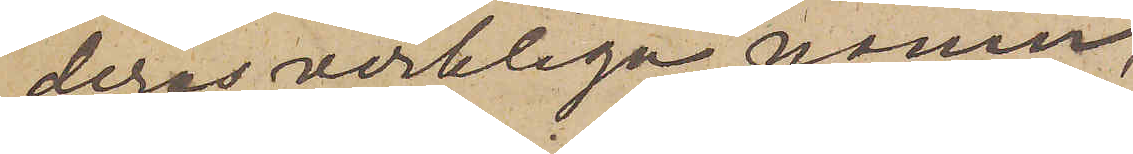deras verkliga namn,
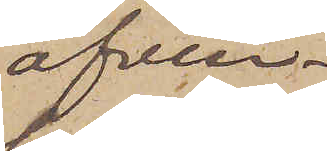äfven¬
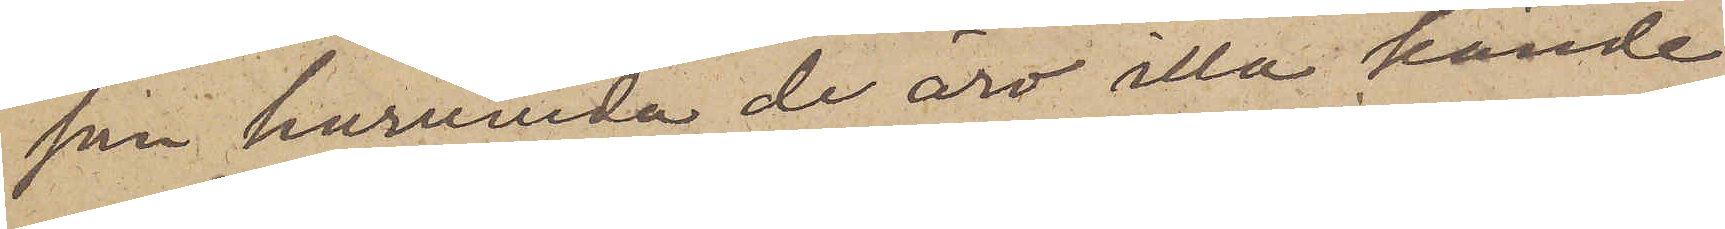som huruvida de äro illa kände
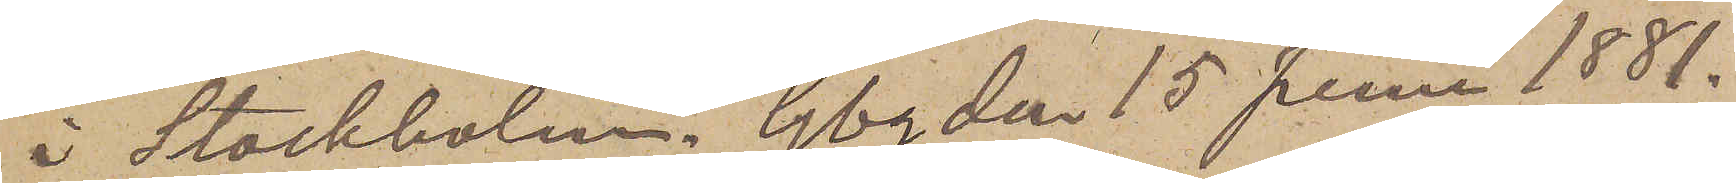i Stockholm. Gbg den 15 Juni 1881.
